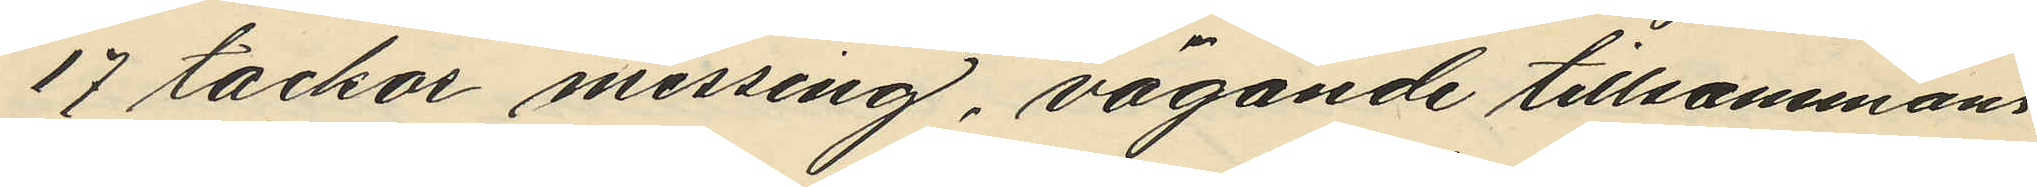17 tackor messing, vägande tillsammans
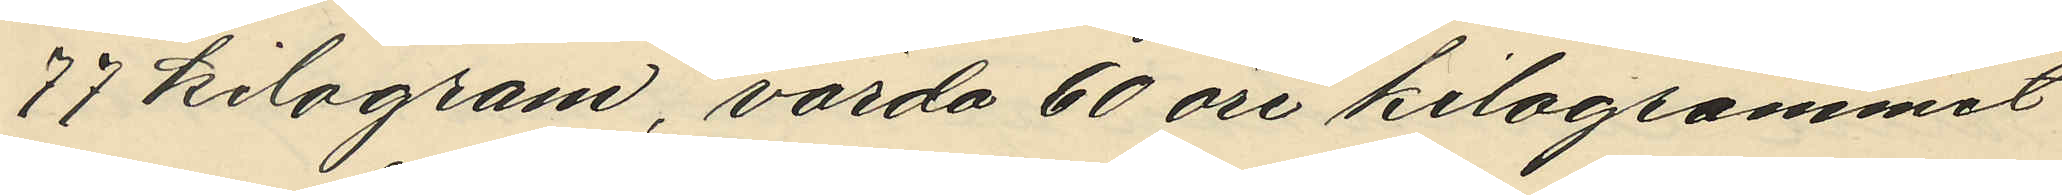77 kilogram, värda 60 öre kilogrammet
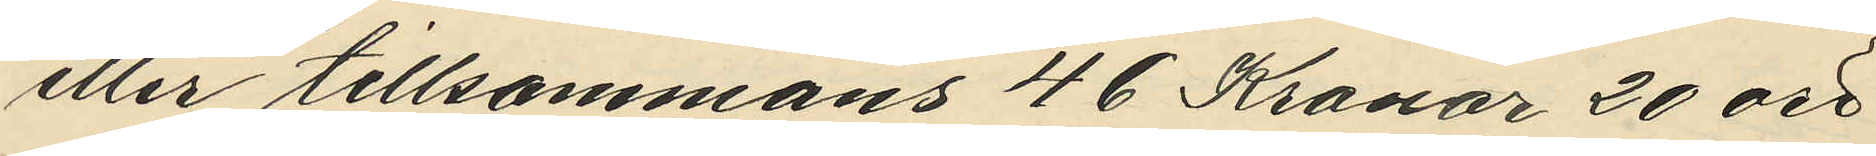eller tillsammans 46 Kronor 20 öre.
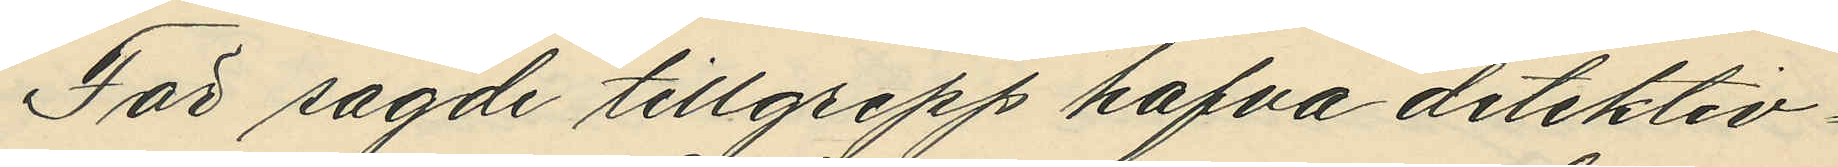För sagde tillgrepp hafva detektiv¬
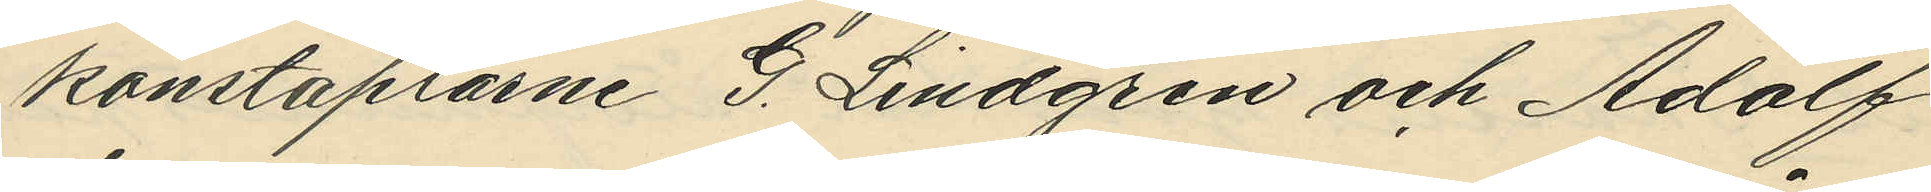konstaplarne G. Lindgren och Adolf
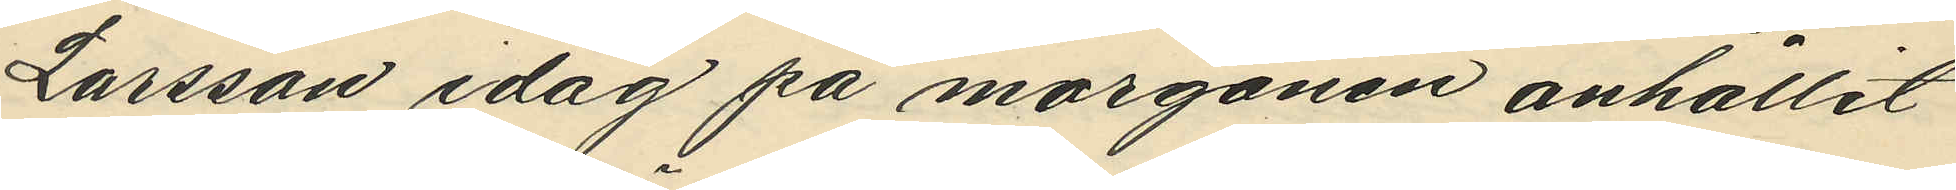Larsson idag på morgonen anhållit
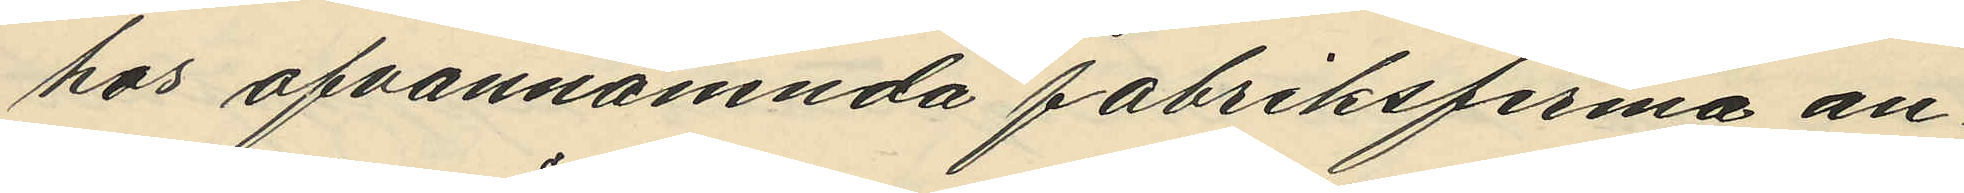hos ofvannämnda fabriksfirma an¬
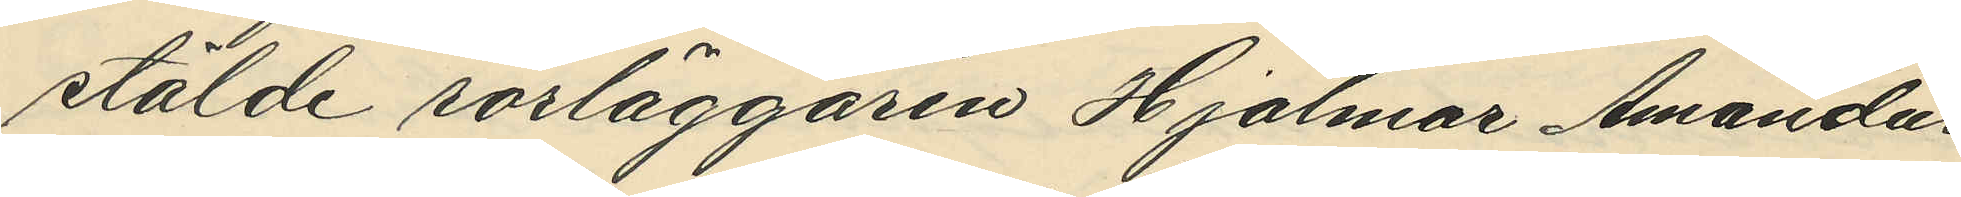stälde rörläggaren Hjalmar Amandus 
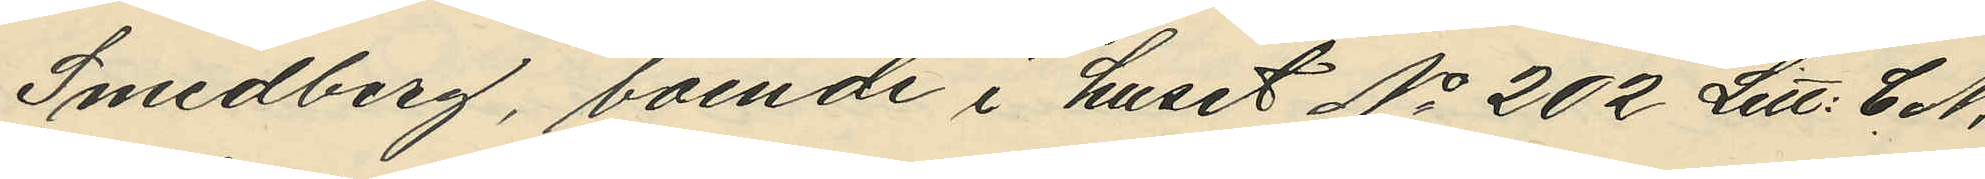Smedberg, boende i huset No 202 Litt. CN,
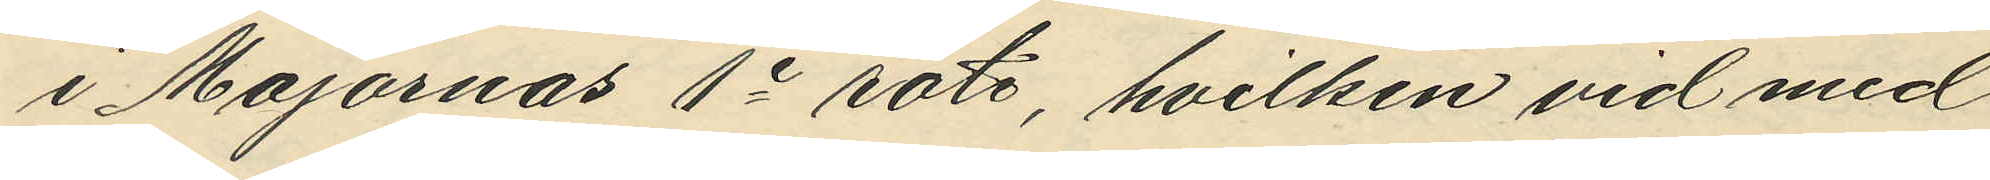i Majornas 1e rote, hvilken vid med
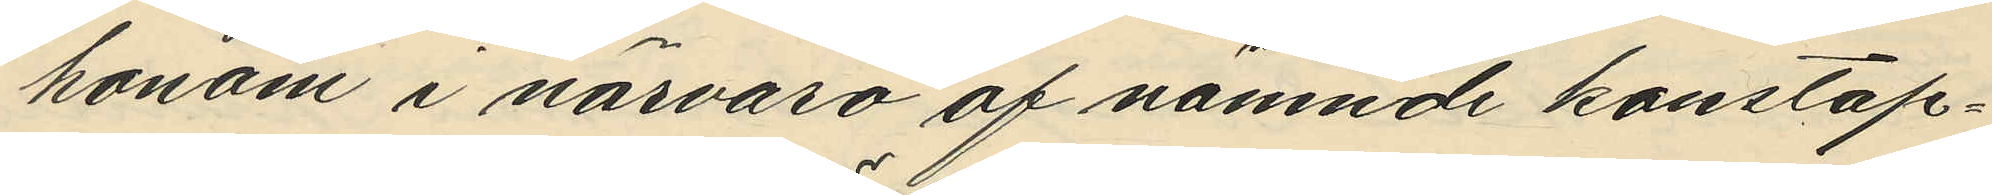honom i närvaro af nämnde konstap¬
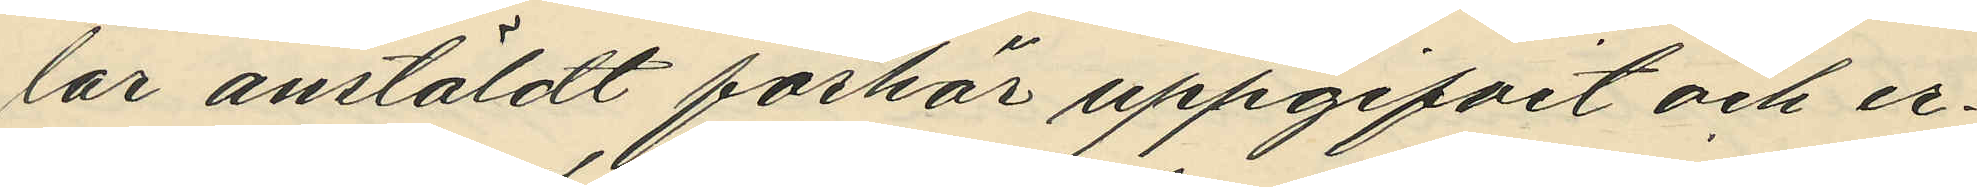lar anstäldt förhör uppgifvit och er¬
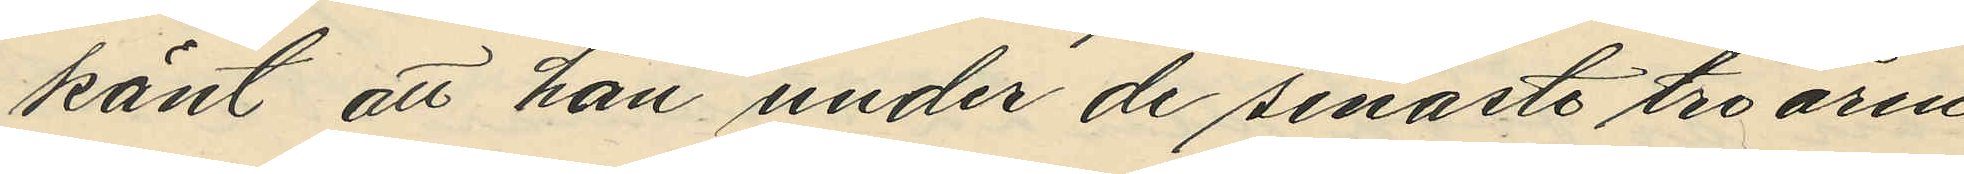känt att han under de senaste tre åren
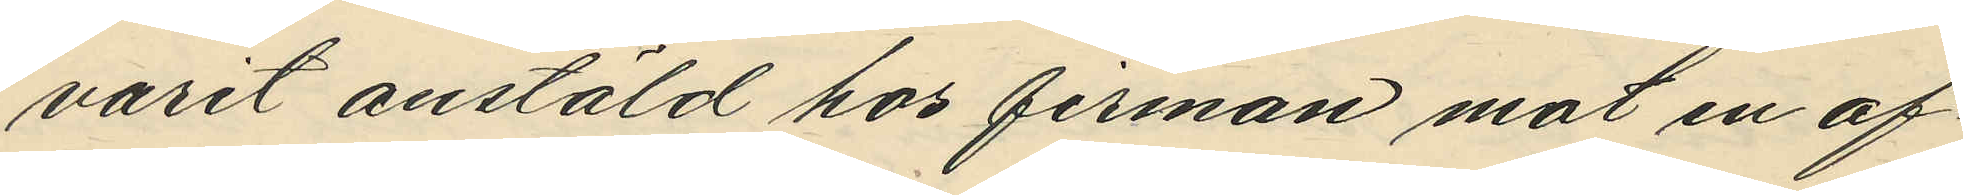varit anstäld hos firman mot en af¬
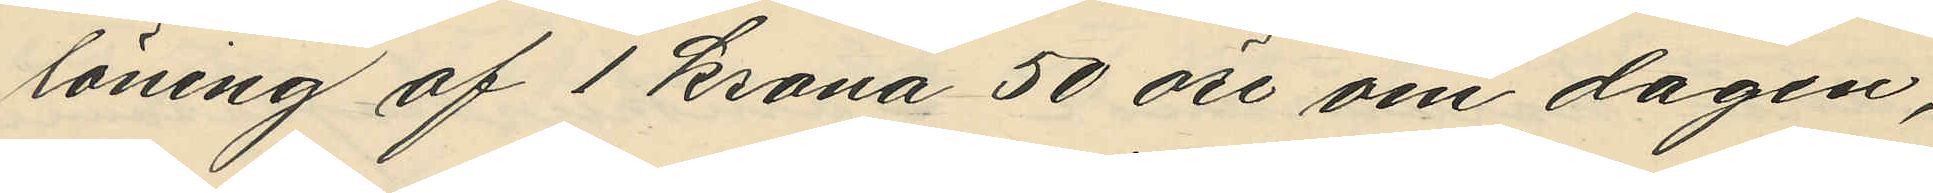löning af 1 krona 50 öre om dagen,
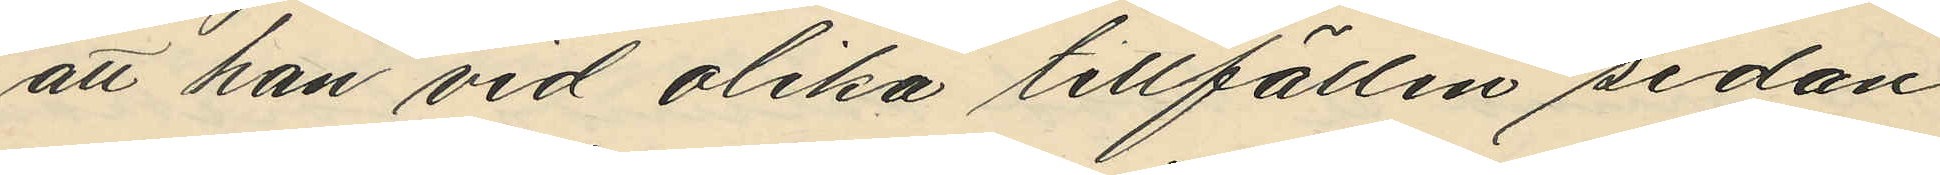att han vid olika tillfällen sedan
